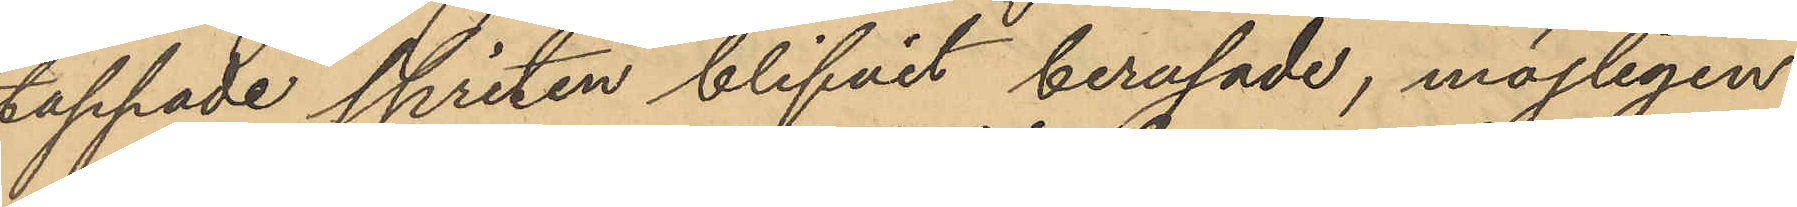tappade spriten blifvit berusade, möjligen
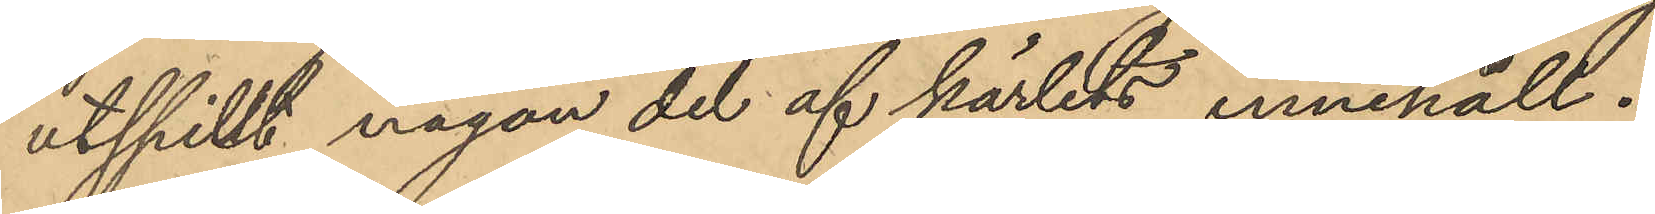utspilt någon del af kärlets innehåll.
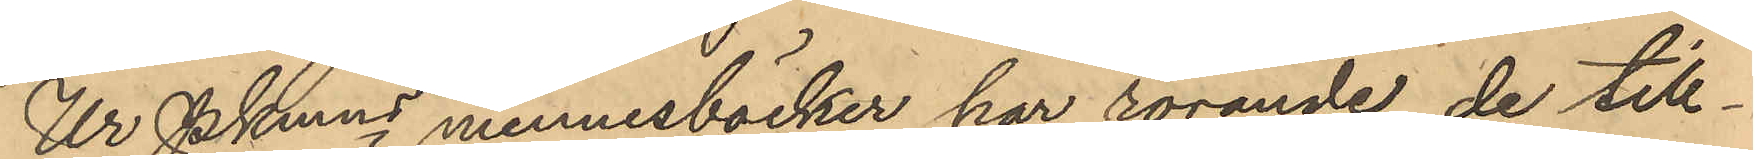Ur PKmns minnesböcker har rörande de till¬
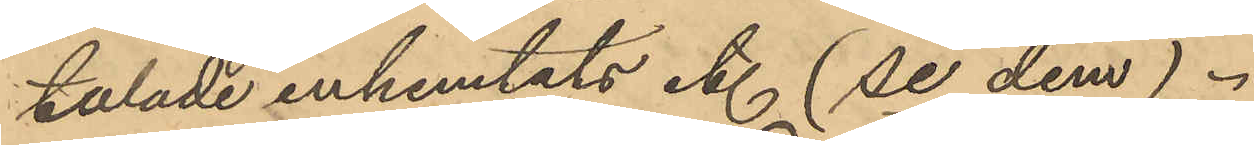talade inhemtats et. (se dem).
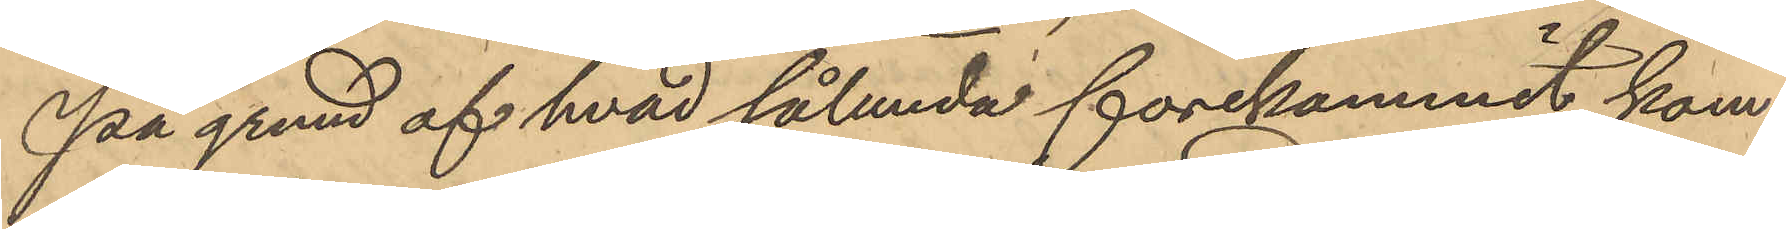På grund af hvad sålunda förekommit kom¬
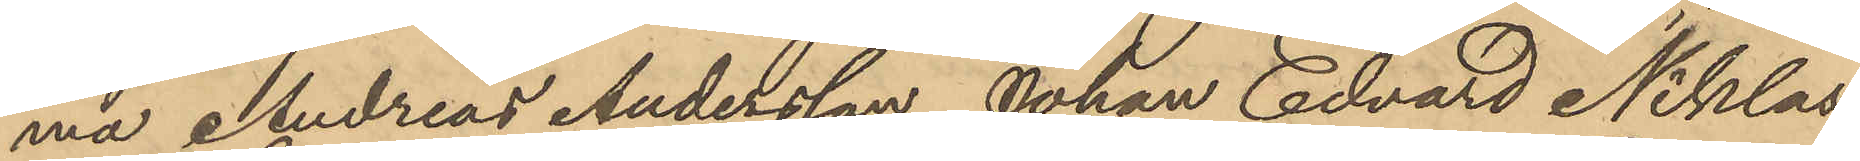ma Andreas Andersson, Johan Edvard Niklas¬
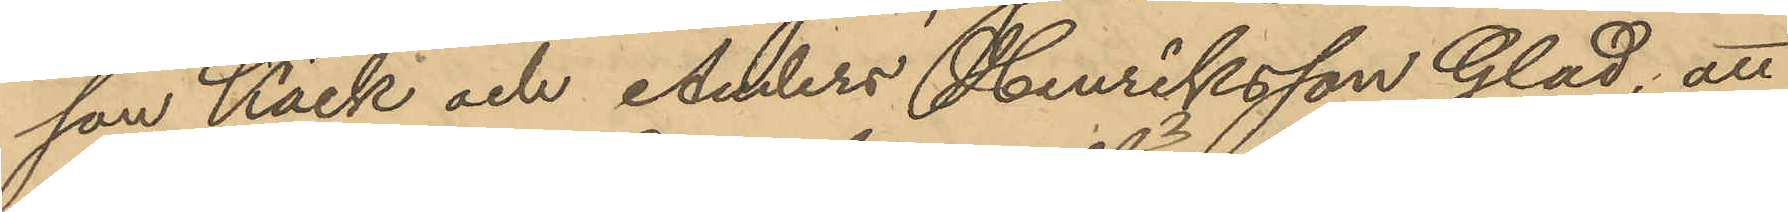son Käck och Anders Henriksson Glad; att
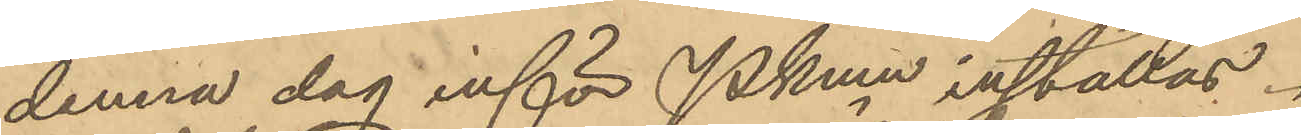denna dag inför Pkmn inställas.
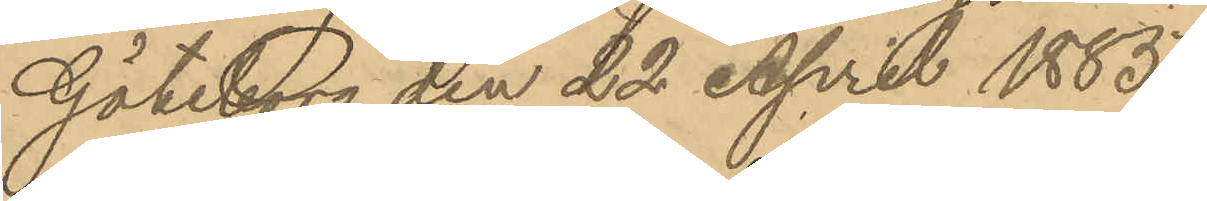Göteborg den 22 April 1885.
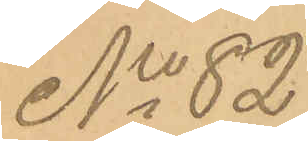No 82
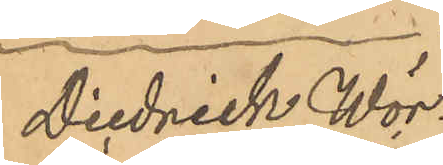Diedrich Wör¬
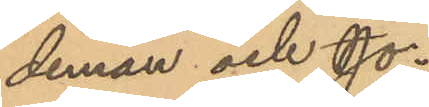deman och Jo¬
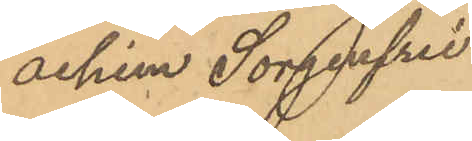achim Sorgenfrei
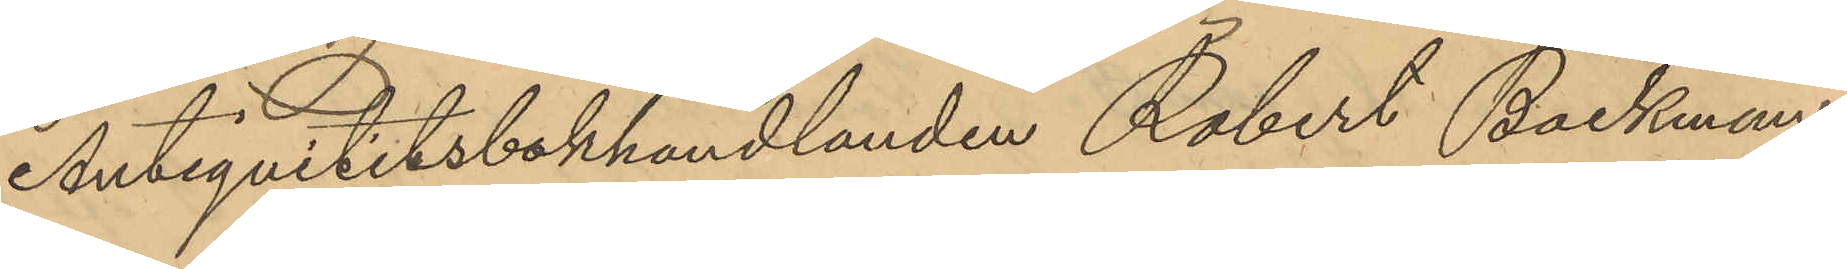Antiqvitetsbokhandlanden Robert Backman
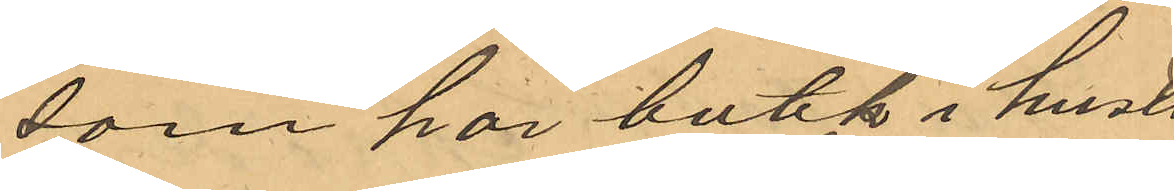som har butik i huset
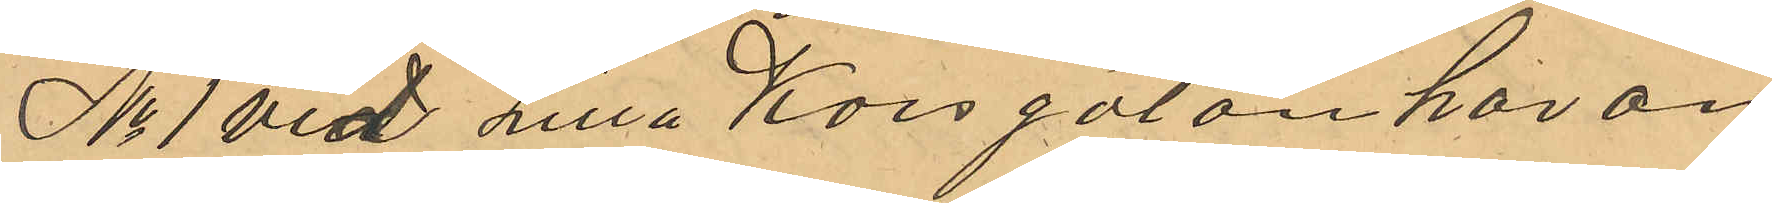No 1 vid lilla Korsgatan har an¬
